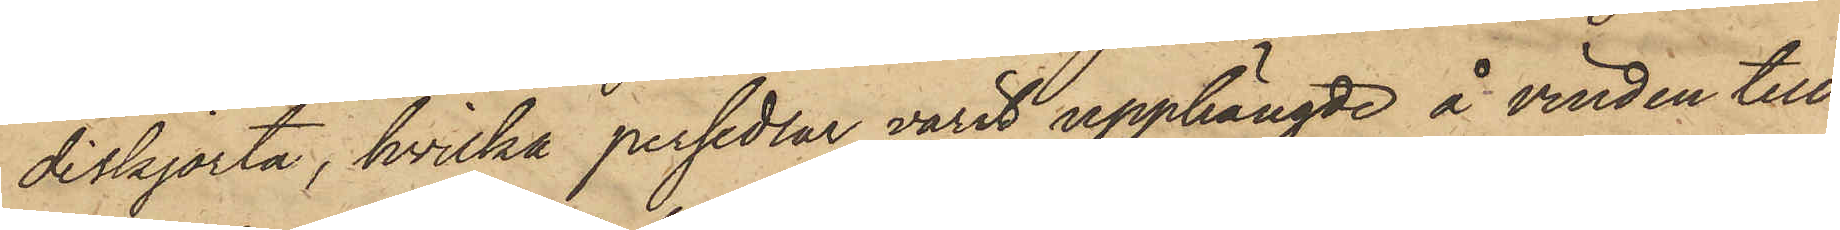diskjorta, hvilka persedlar varit upphängde å vinden till
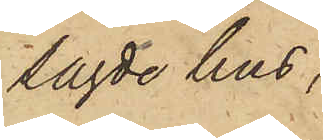sagde hus,
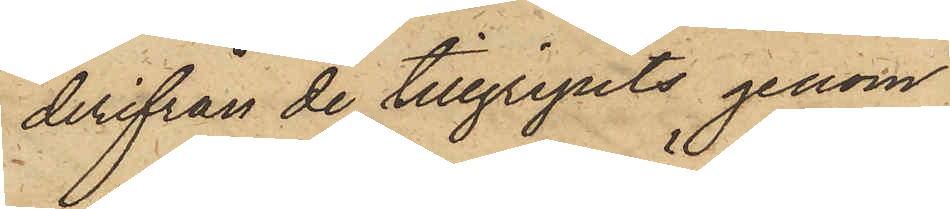derifrån de tillgripits genom
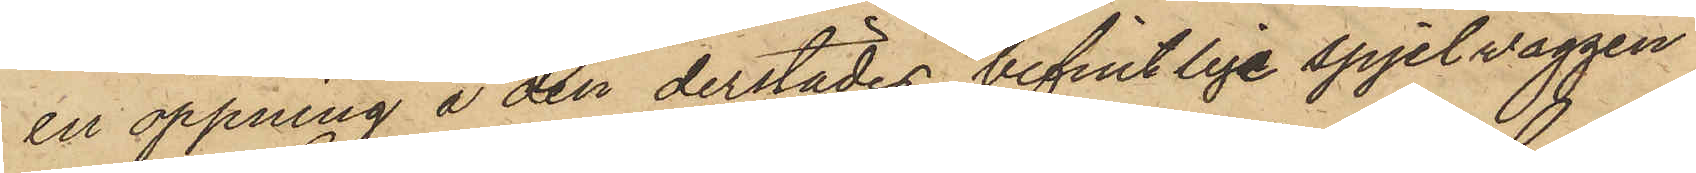en öppning å den derstädes befintlige spjelväggen.
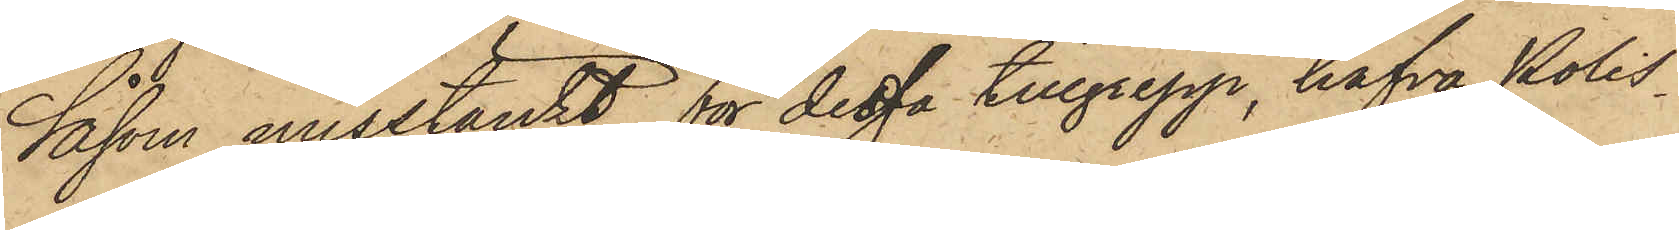Såsom misstänkt för dessa tillgrepp, hafva Polis¬
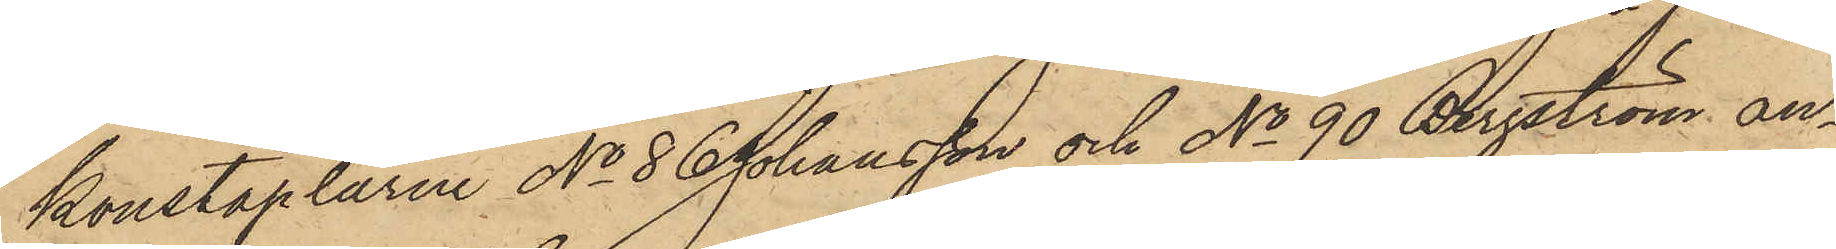konstaplarne No 86 Johansson och No 90 Bergström an¬
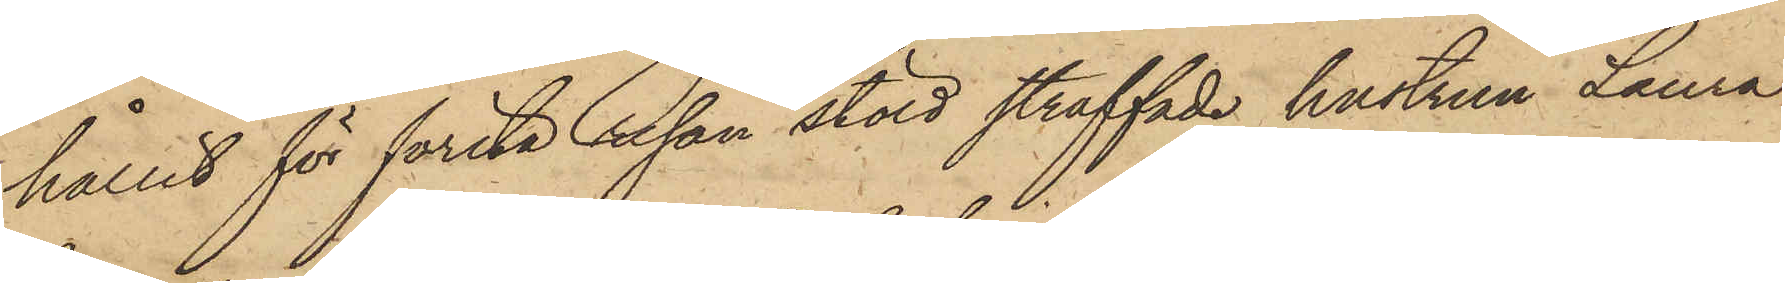hållit för första resan stöld straffade hustrun Laura
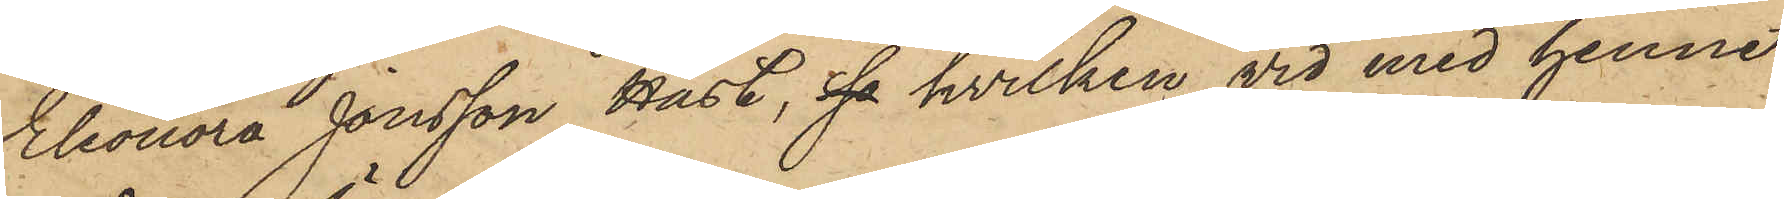Eleonora Jonsson Hast, sa hvilken vid med henne
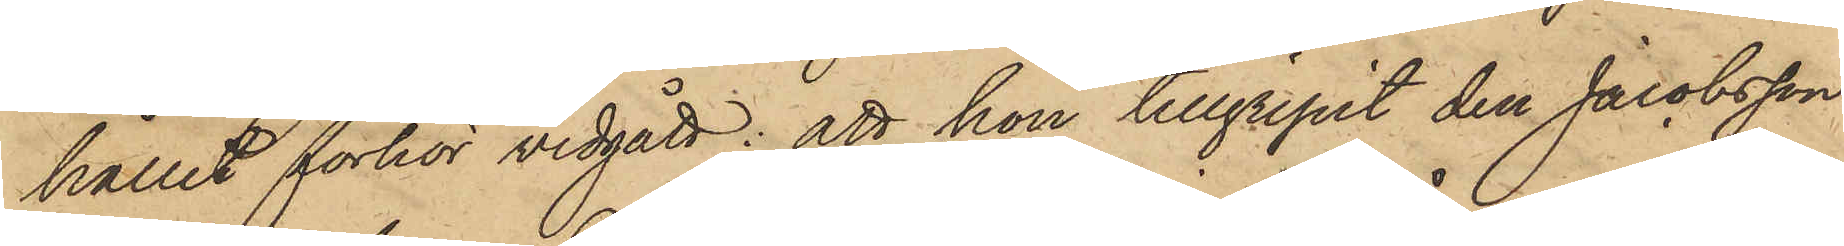hållit förhör vidgått: att hon tillgripit den Jacobsson
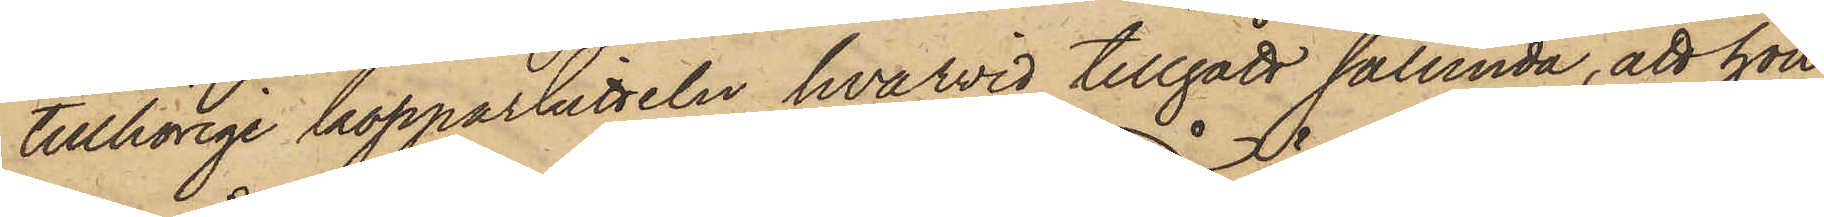tillhörige kopparkitteln, hvarvid tillgått sålunda, att hon
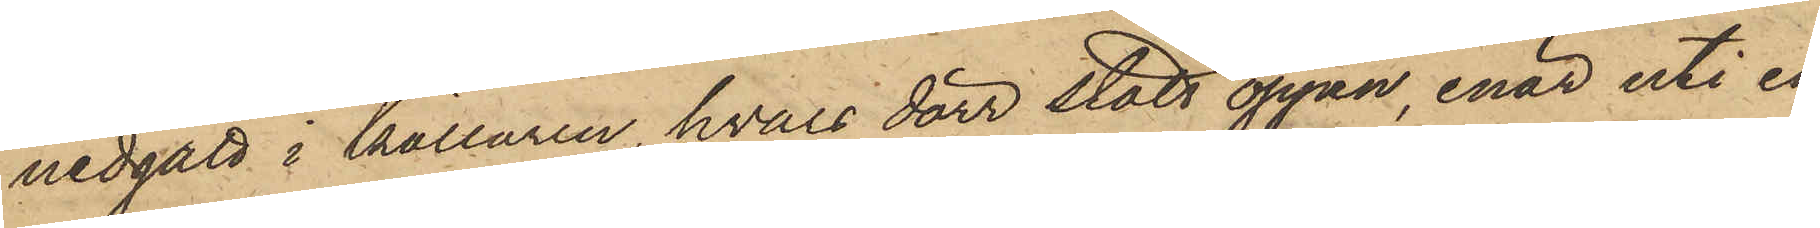nedgått i källaren, hvars dörr stått öppen, enär uti en
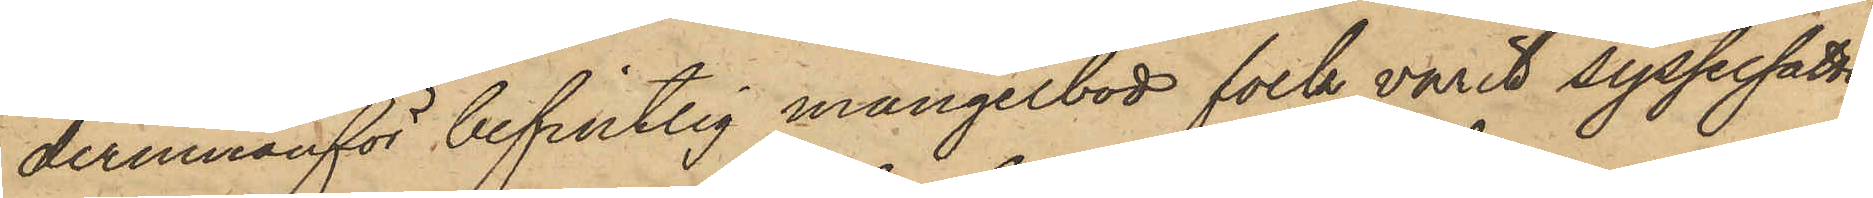derinnanför befintlig mangelbod folk varit sysselsatte
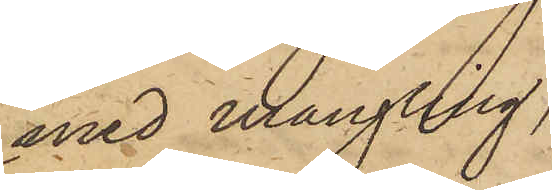med mangling,
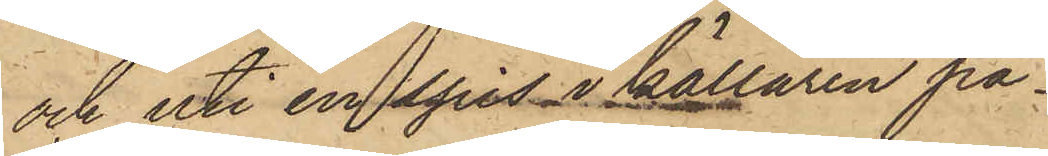och uti en spis i källaren på¬
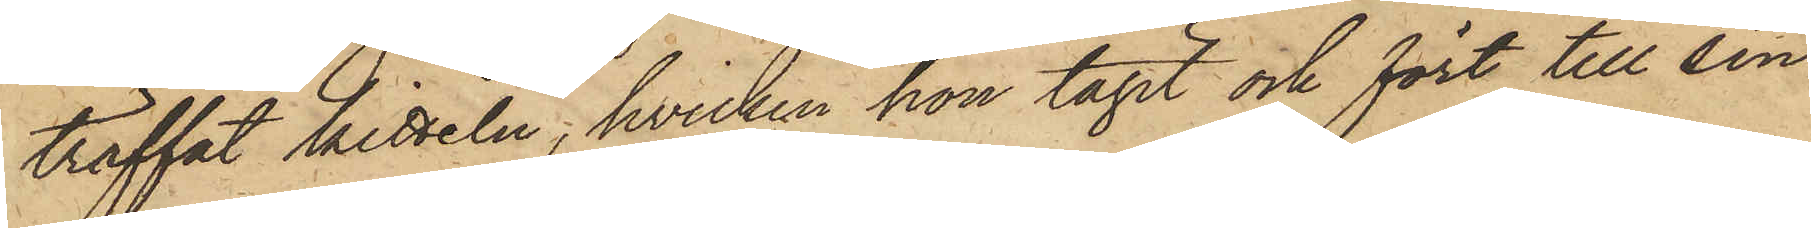träffat kitteln, hvilken hon tagit och fört till sin
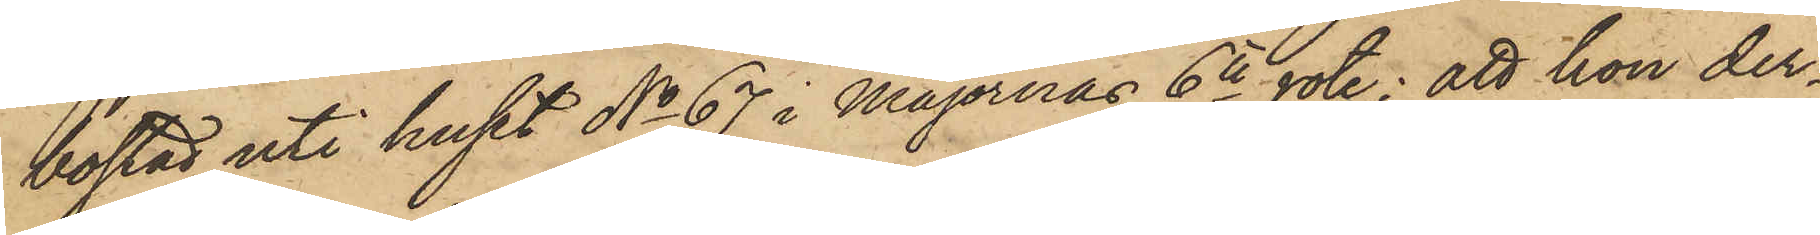bostad uti huset No 67 i Majornas 6te rote; att hon der¬
